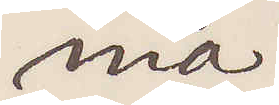nia.
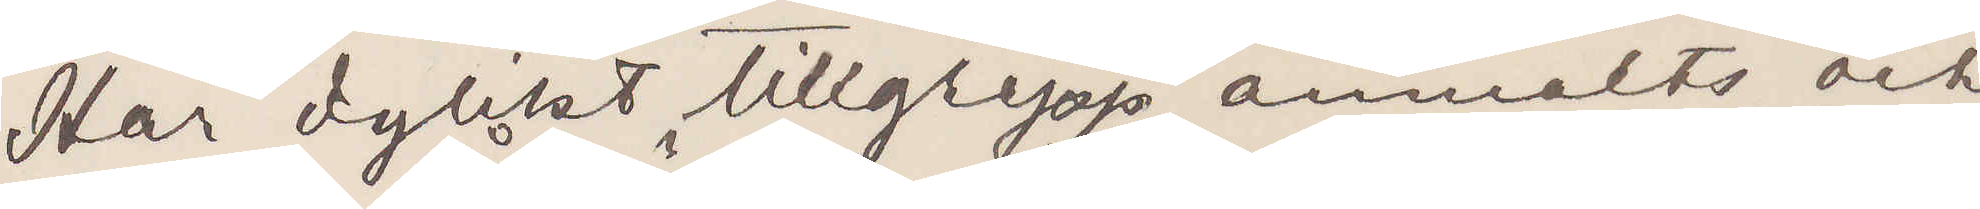Har dylikt tillgrepp anmälts och
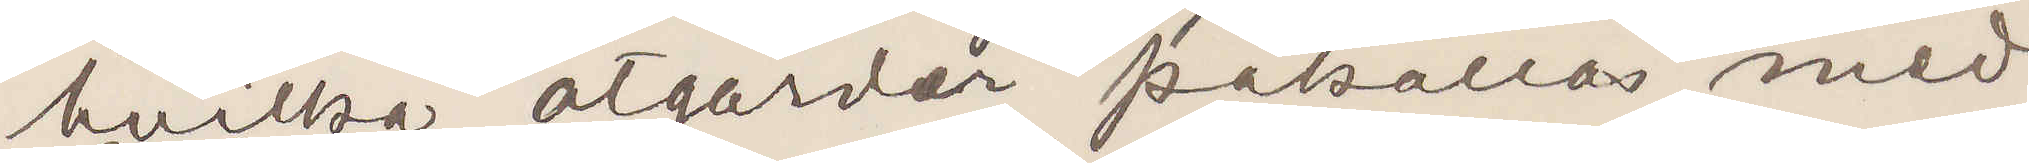hvilka atgärder påkallas med
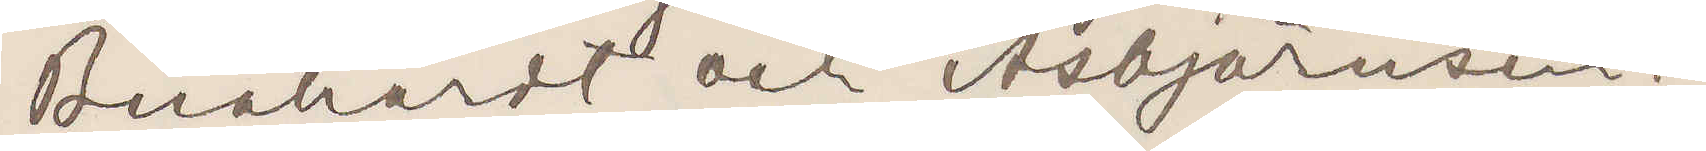Bernhardt och Asbjörnsen?
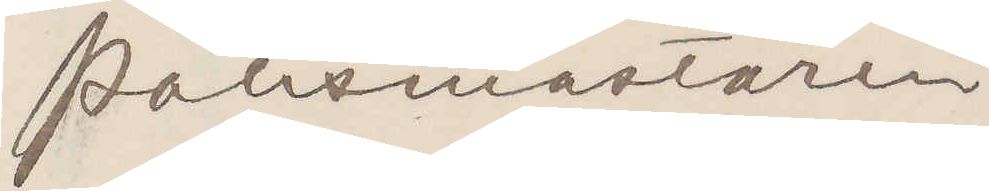Polismästaren
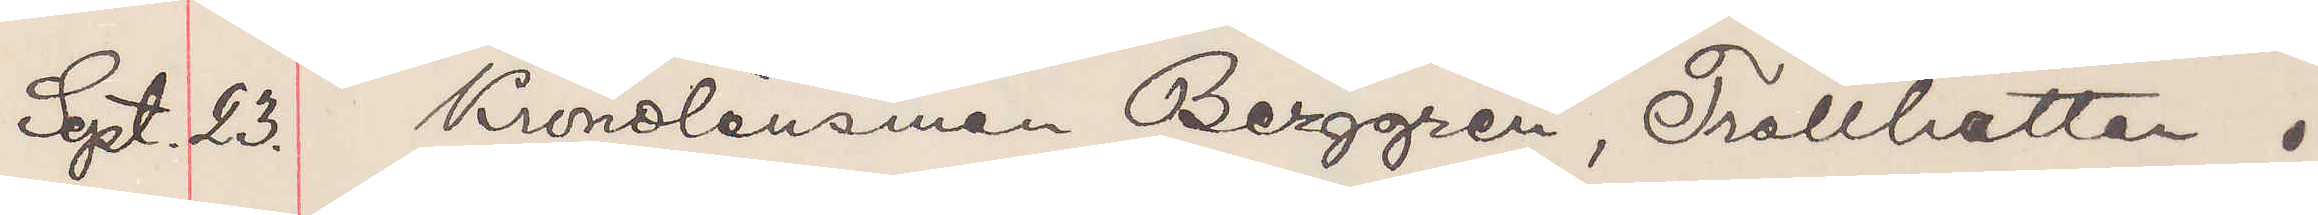Sept. 23. Kronolänsman Berggren, Trollhättan.
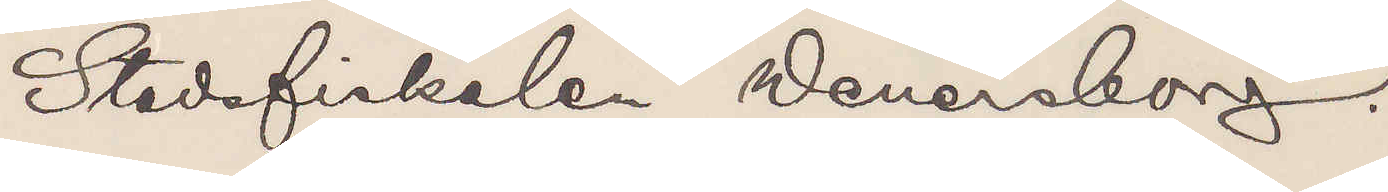Stadsfiskalen Wenersborg.
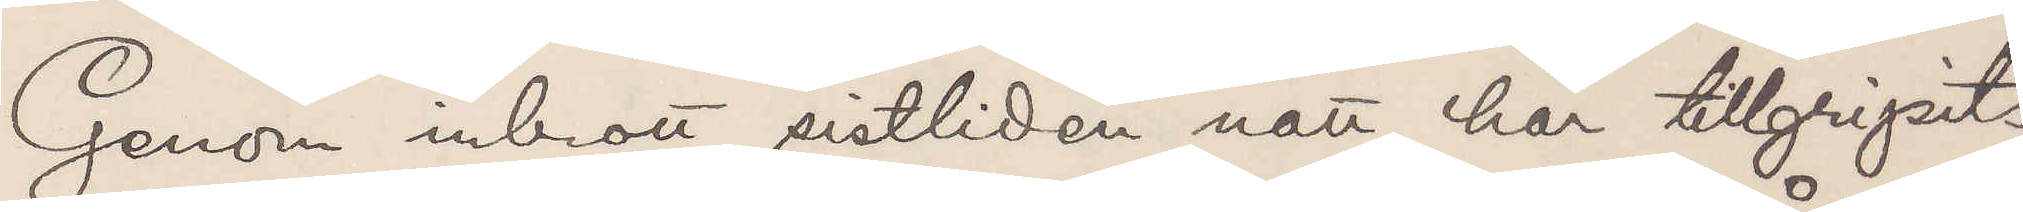Genom inbrott sistliden natt här tillgripits
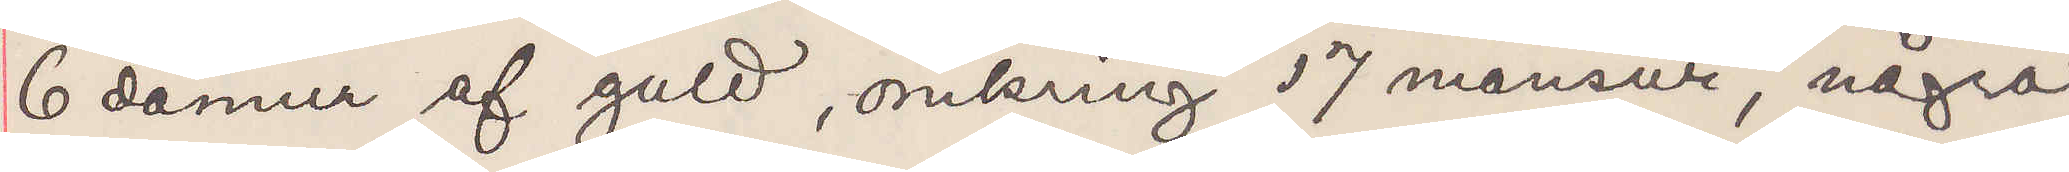6 damur af guld, omkring 17 mansur, några
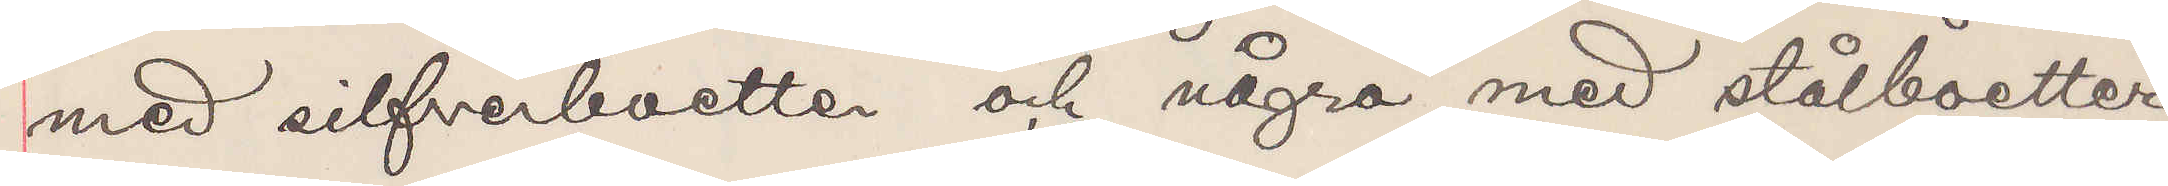med silfverboetter och några med stålboetter.
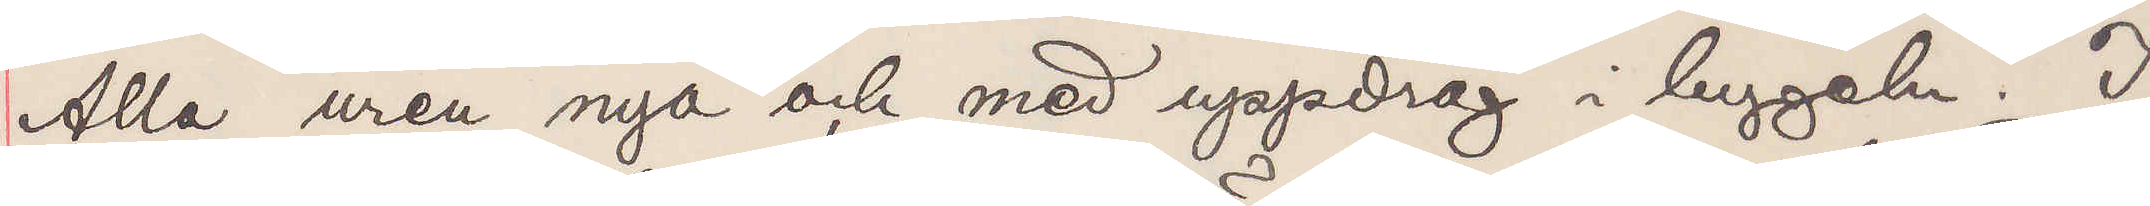Alla uren nya och med uppdrag i bygeln. I
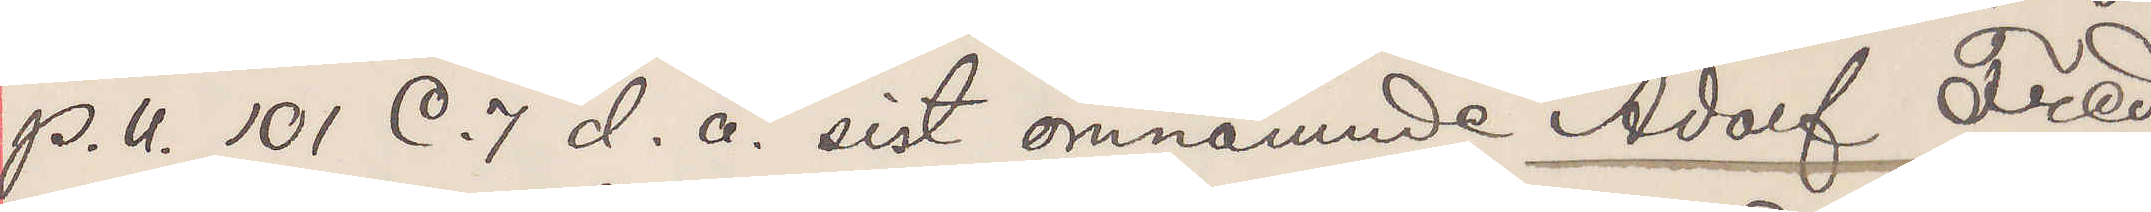P. U. 101 C. 7 d. å. sist omnämnde Adolf Fred¬
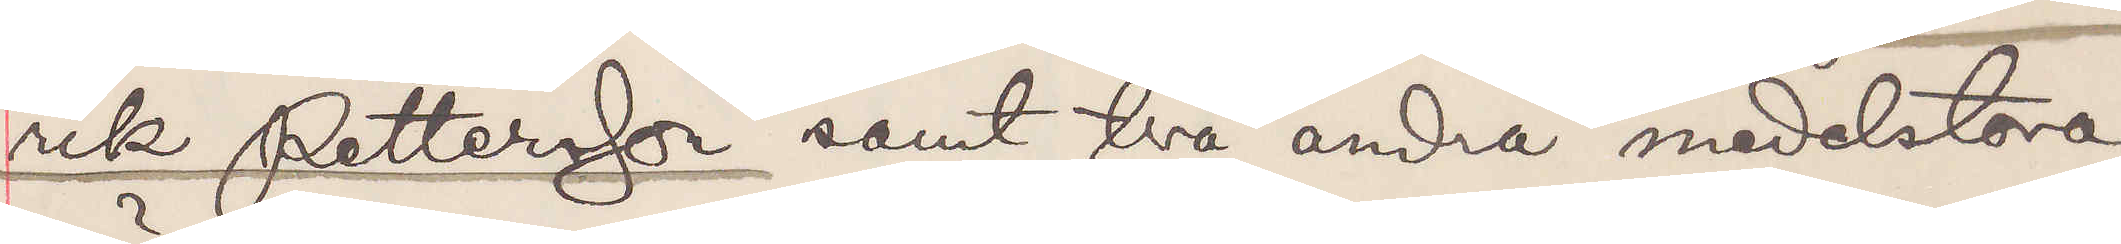rik Pettersson samt två andra medelstora
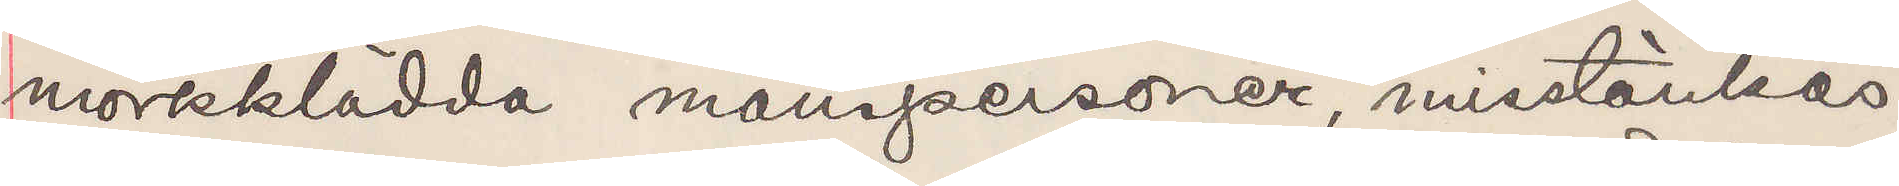mörkklädda manspersoner, misstänkas.
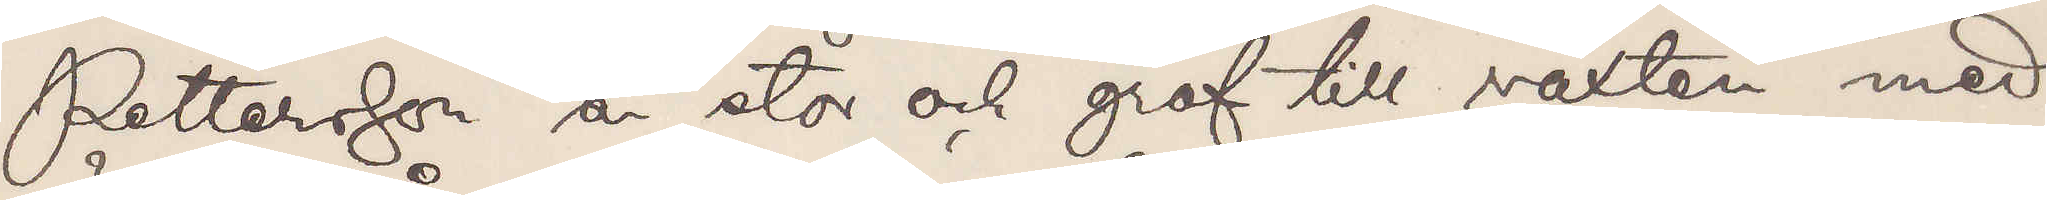Pettersson är stor och grof till växten med
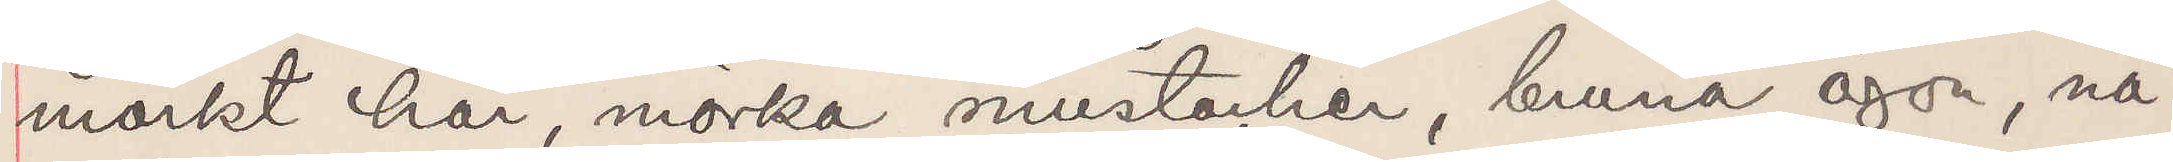mörkt hår, mörka mustacher, bruna ögon, nå¬
